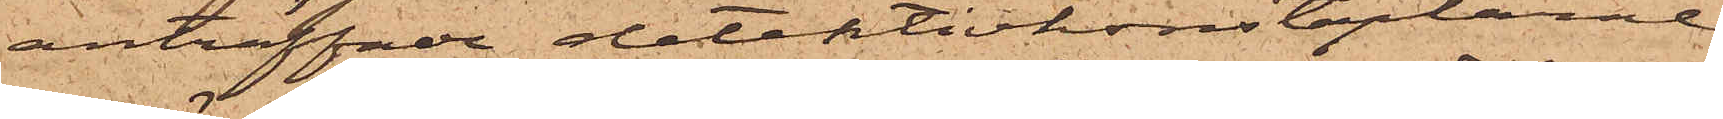anträffade detektivkonstaplarne
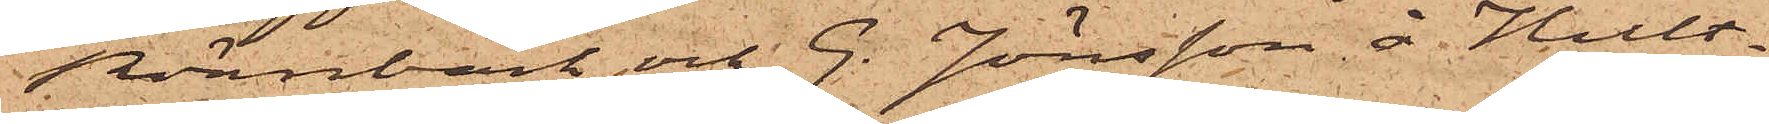Rönnbäck och G. Jönsson å Hult¬
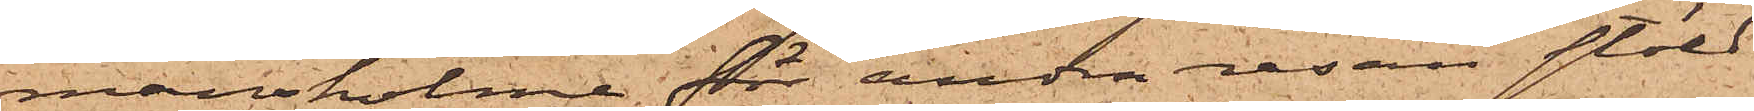mansholme för andra resan stöld
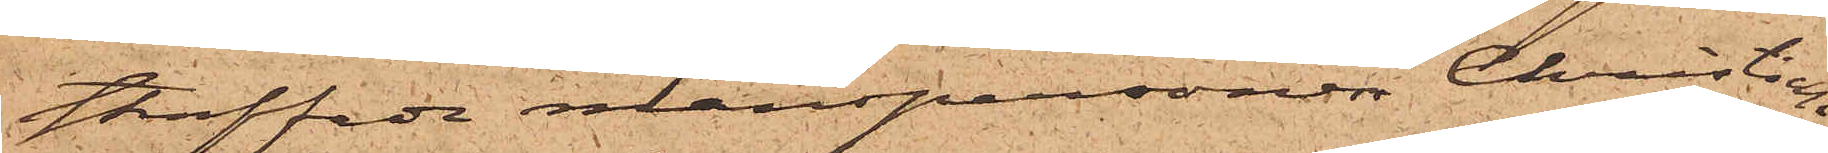straffade manspersonen Christian
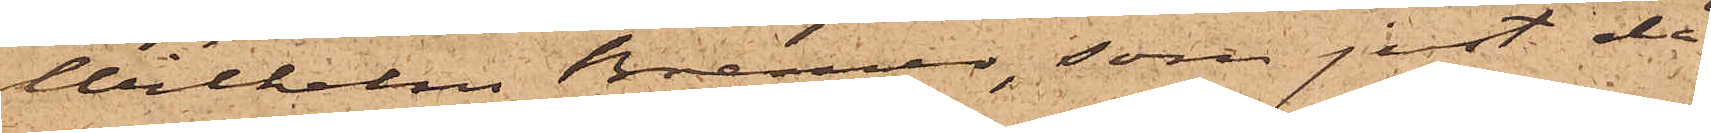Wilhelm Bremer, som just då
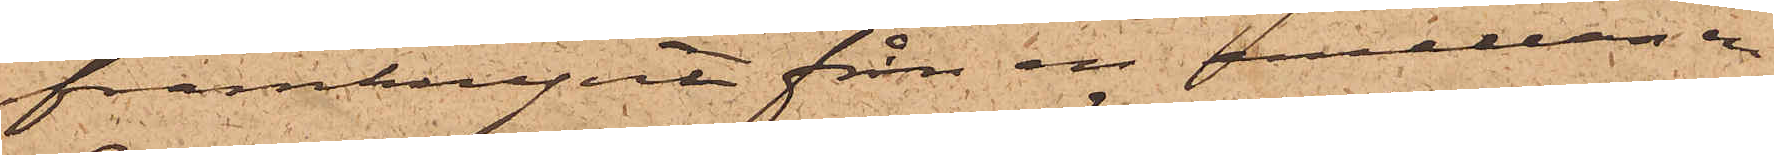framkrypit från en emellan en
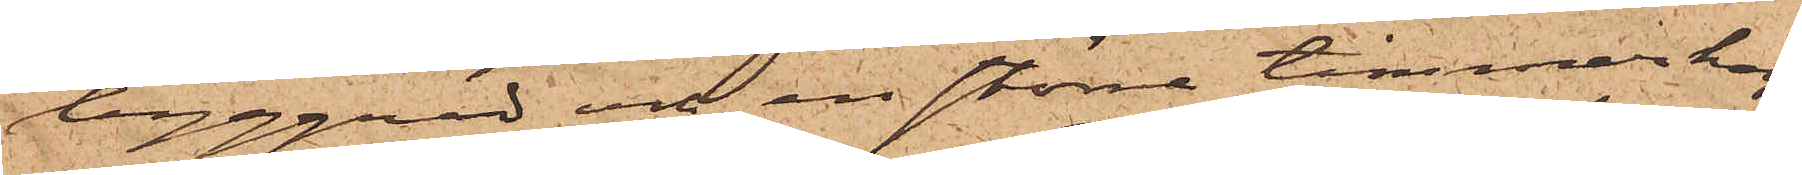byggnad och en större timmerhög
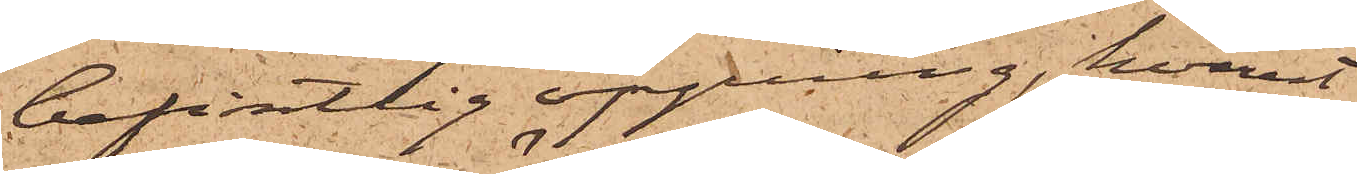befintlig öppning, hvarest
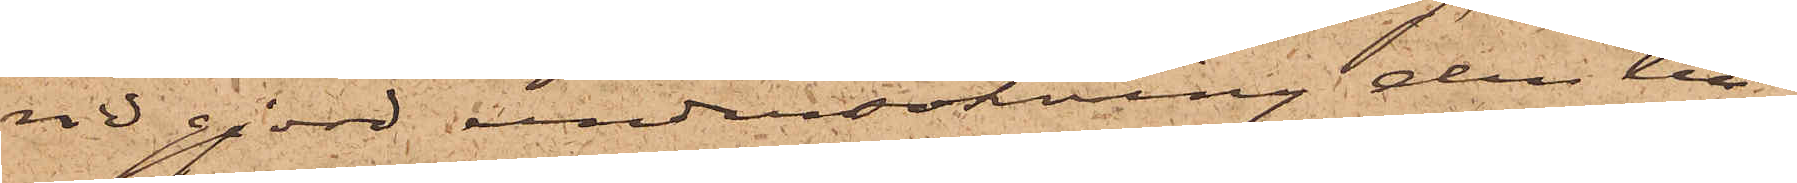vid gjord undersökning den till¬
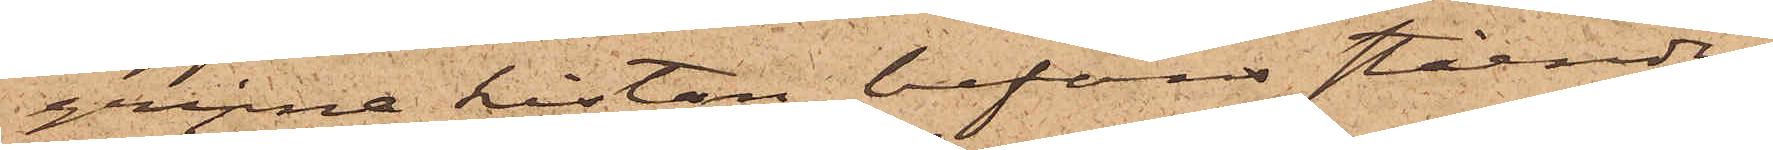gripne kistan befans stående;
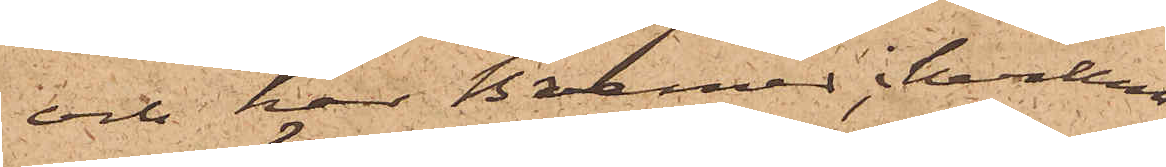och har Bremer, i hvilkens
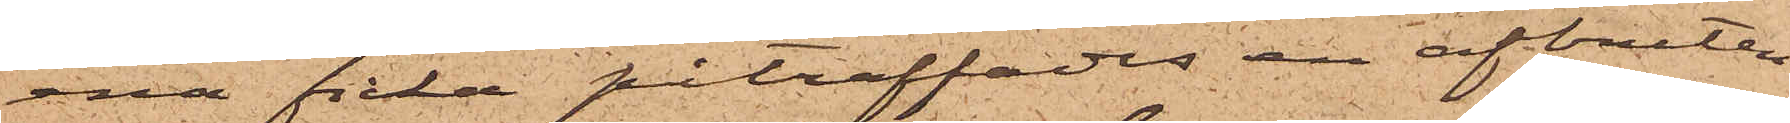ena ficka påträffades en afbruten
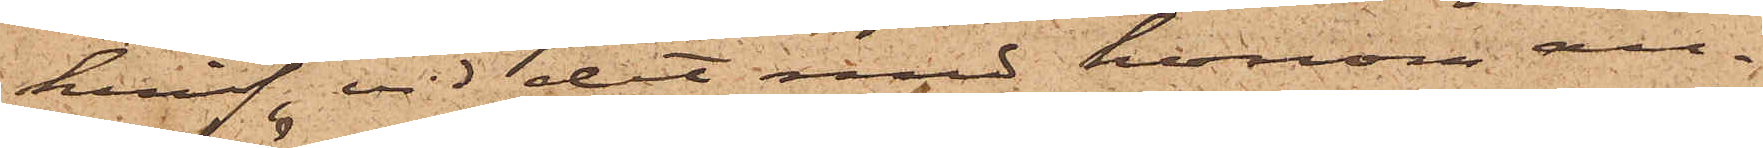knif, vid det med honom an¬
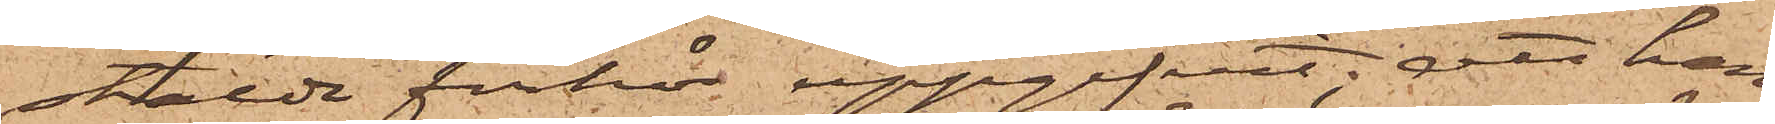stälde förhör uppgifvit; att han
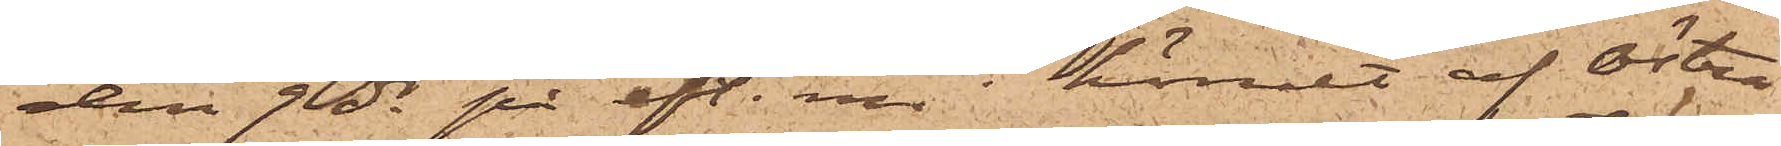den 9 ds på eft. m. i hörnet af Östra
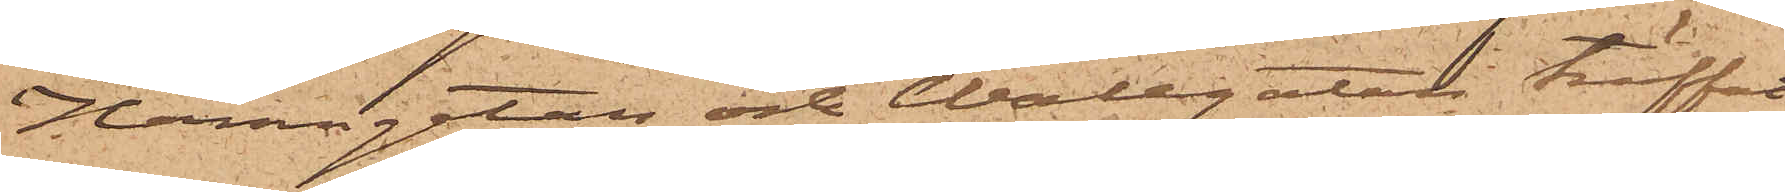Hamngatan och Wallgatan träffat
